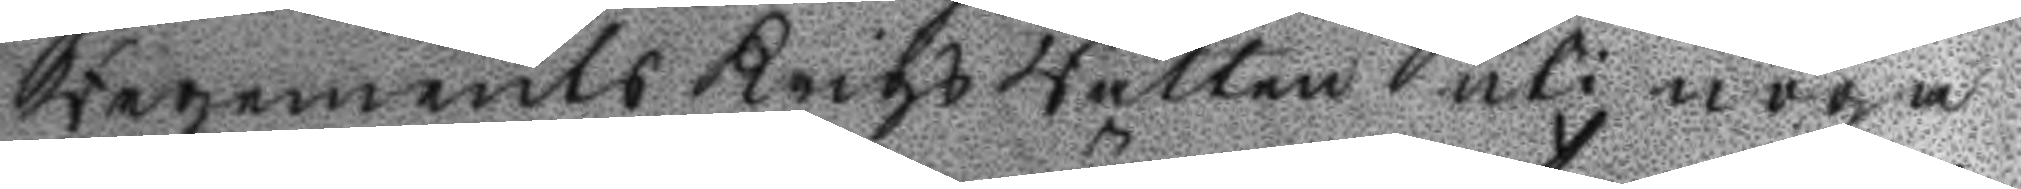Regements Krigs Rätten uti noga
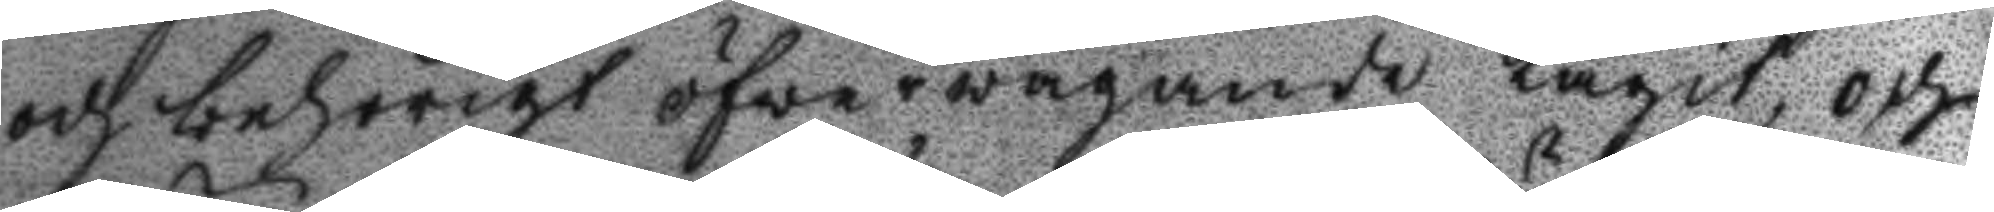och behörigt öfwerwägande tagit, och
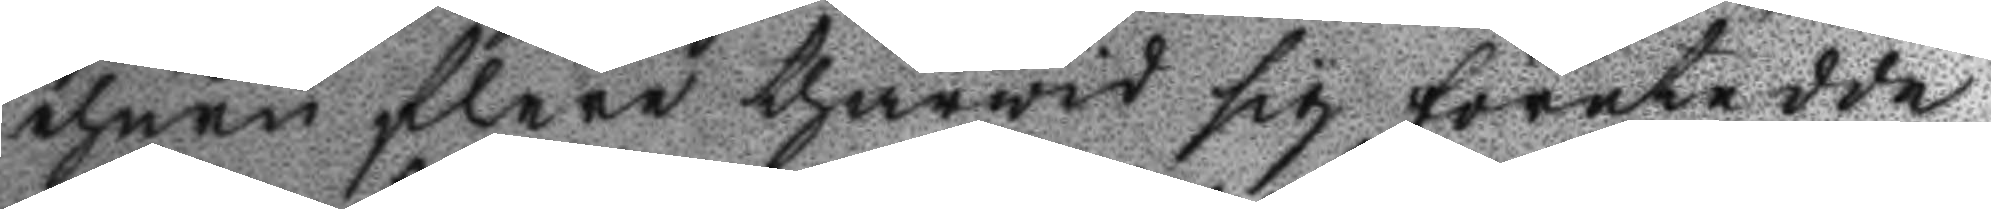ehuru flere thärwid sig företedde
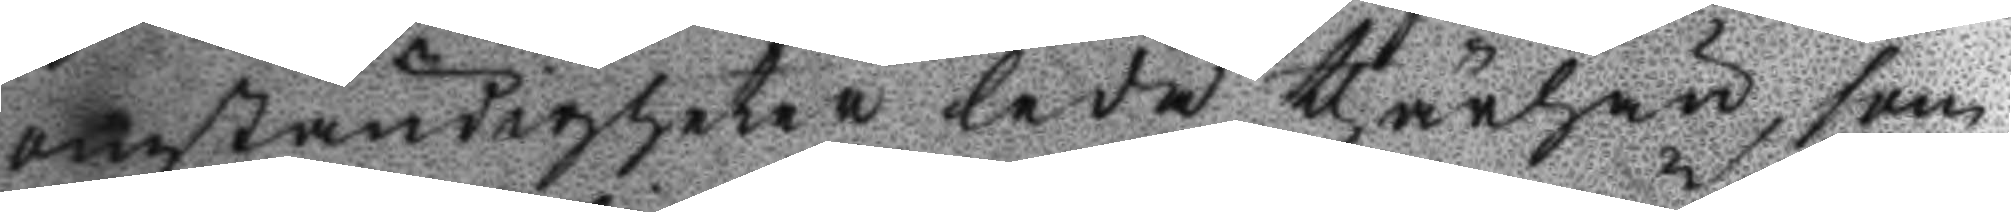omständigheter leda thärhän, som
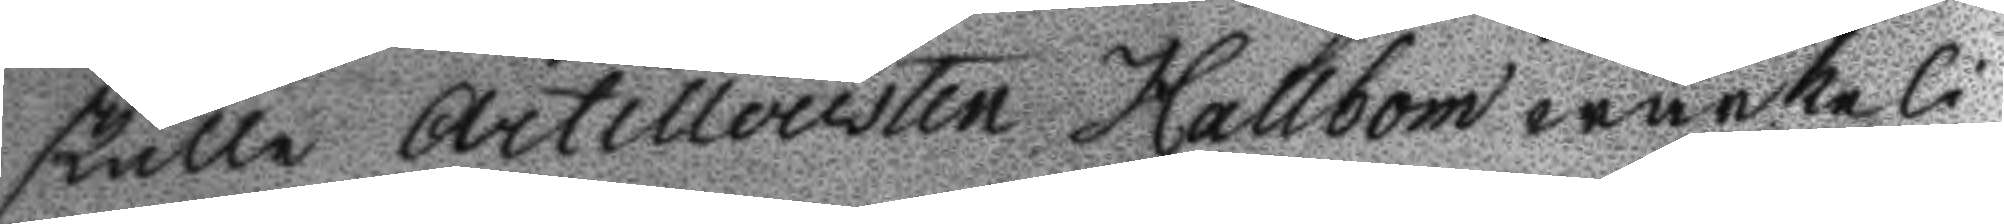skulle Artilleristen Hallbom wärkeli¬
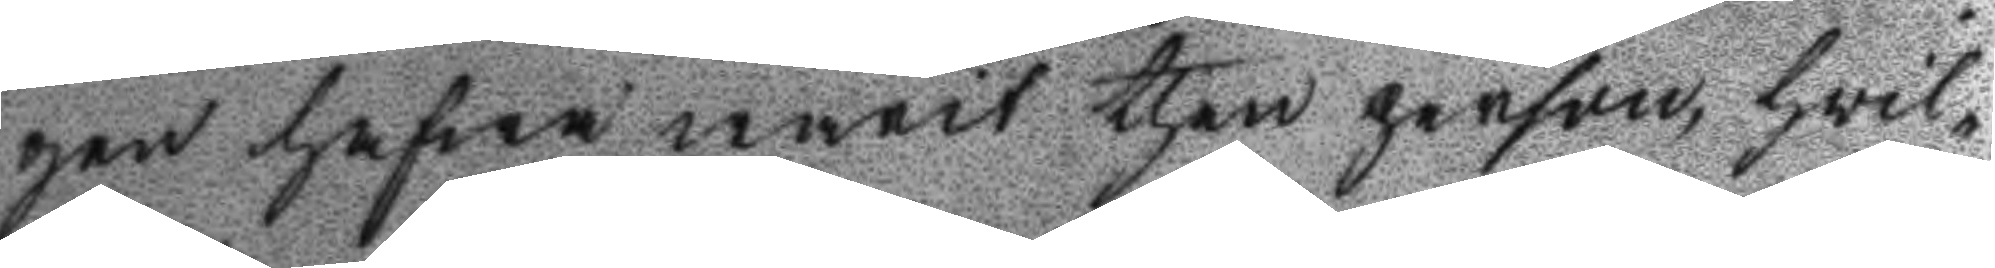gen hafwa warit then person, hwil¬
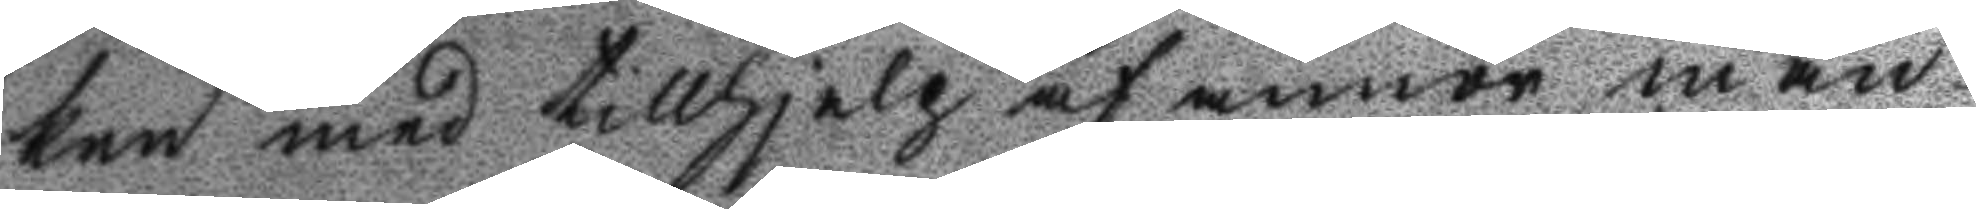ken med tillhjelp af annor man
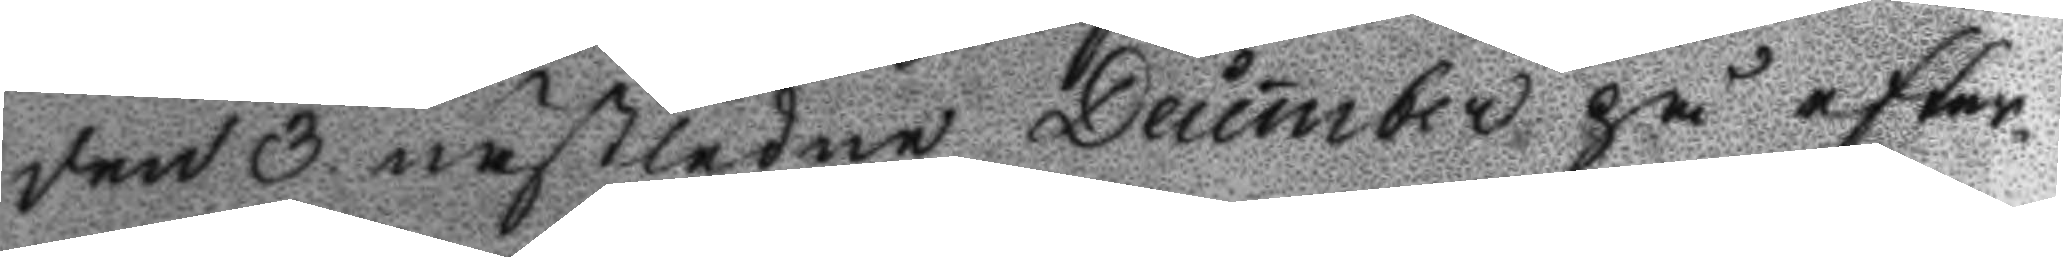den 3 nastledne December på efter¬
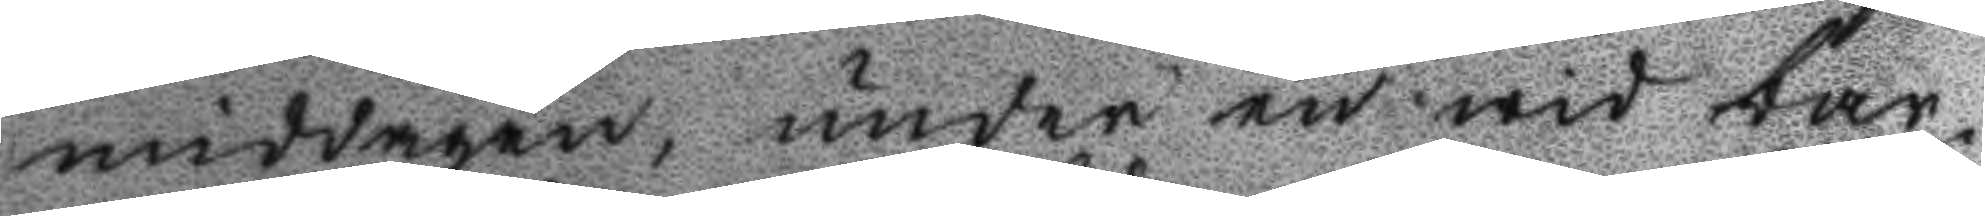middagen, under en wid bar¬
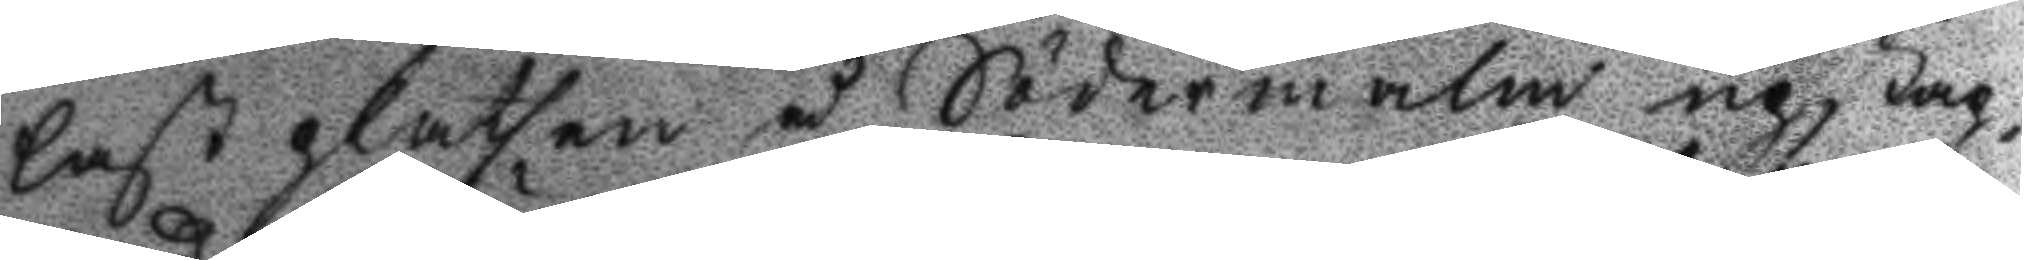last platsen å Södermalm upstap¬
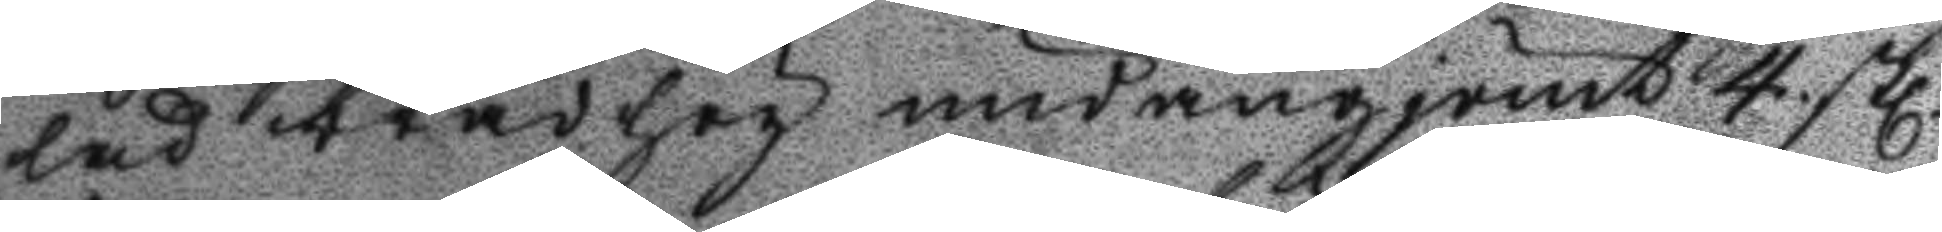lad brädhög undangjömt 4. stl.
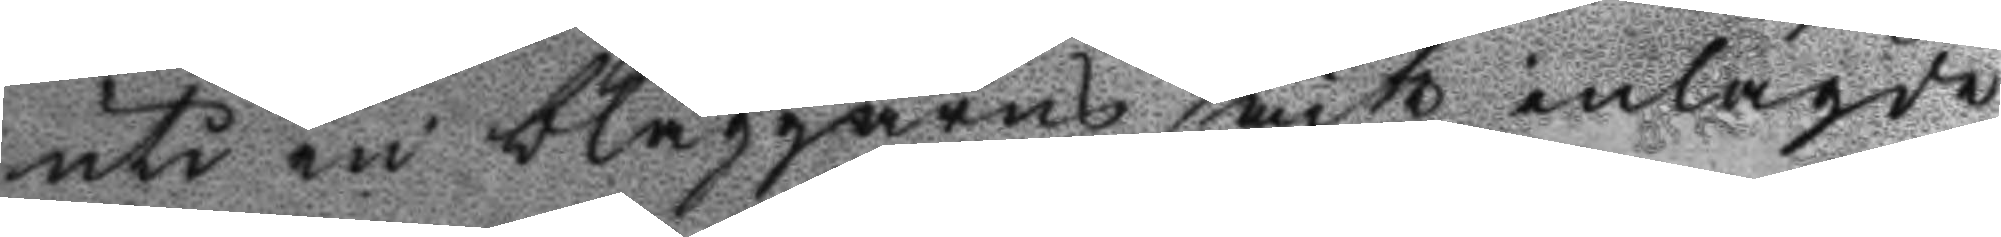uti en blaggarns säck inlagde
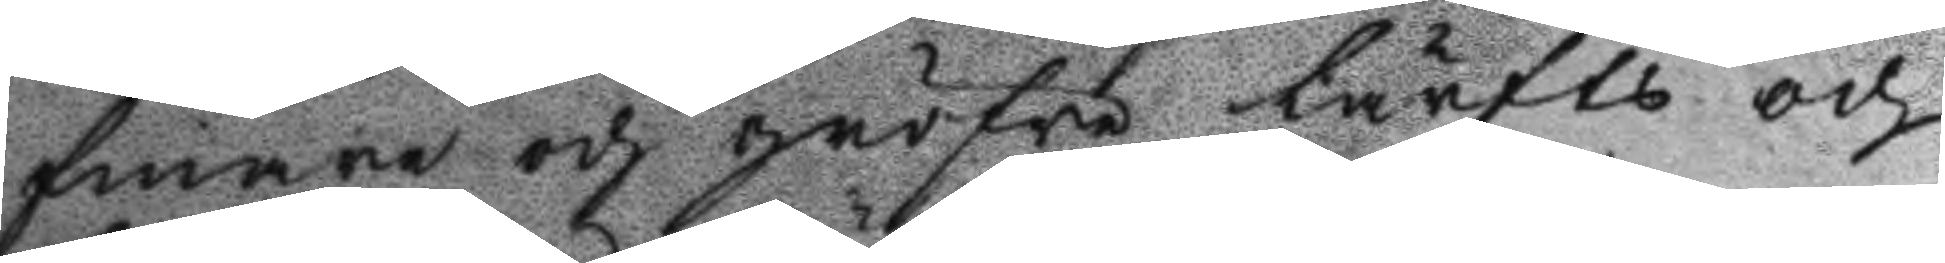finare och gröfre lärfts och
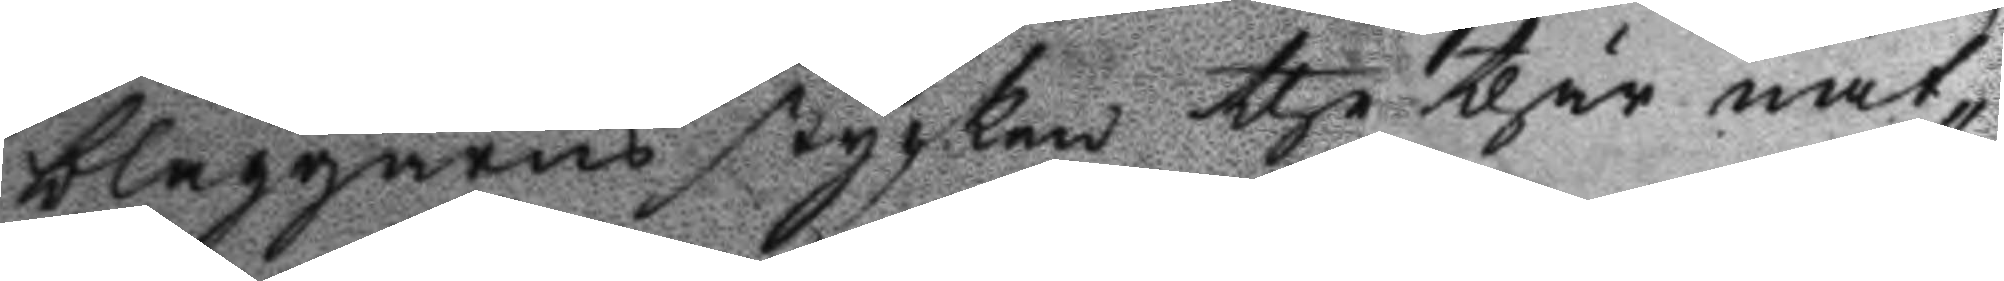blaggarns stycken the thär nat¬
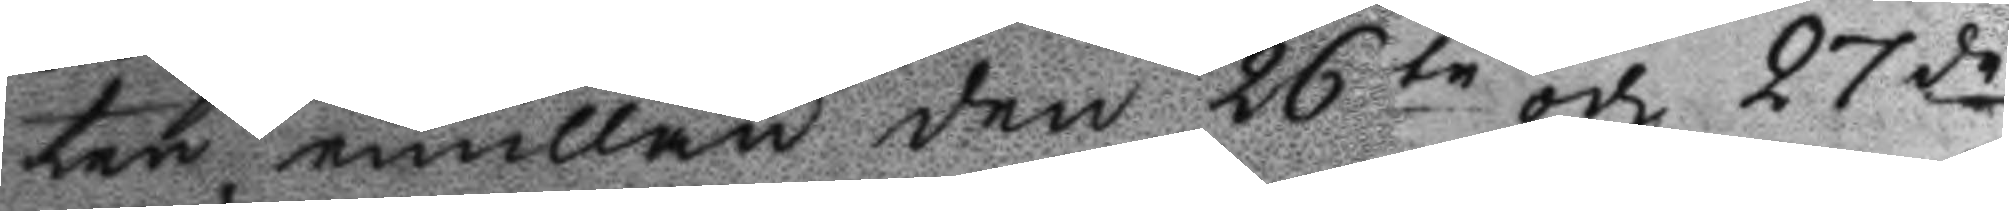ten emillan den 26te och 27de
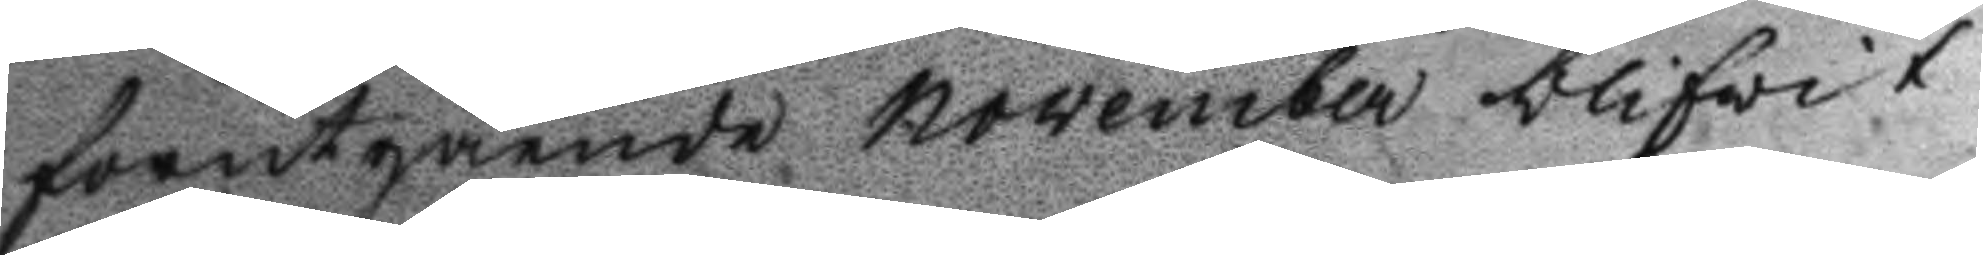förutgående november blifvit
